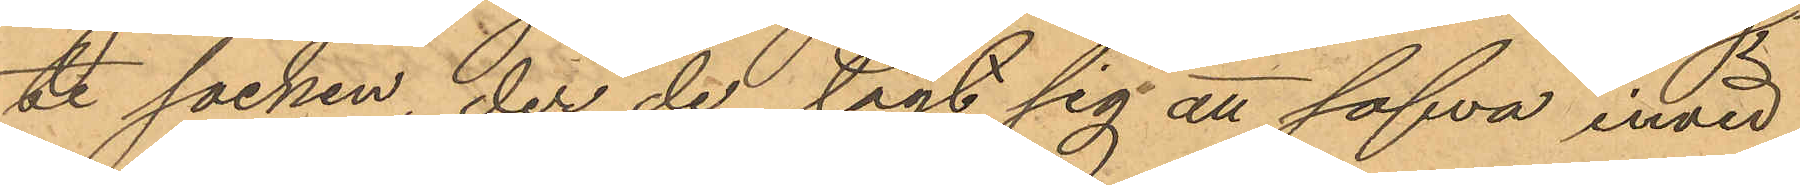te socken, der de lagt sig att sofva invid
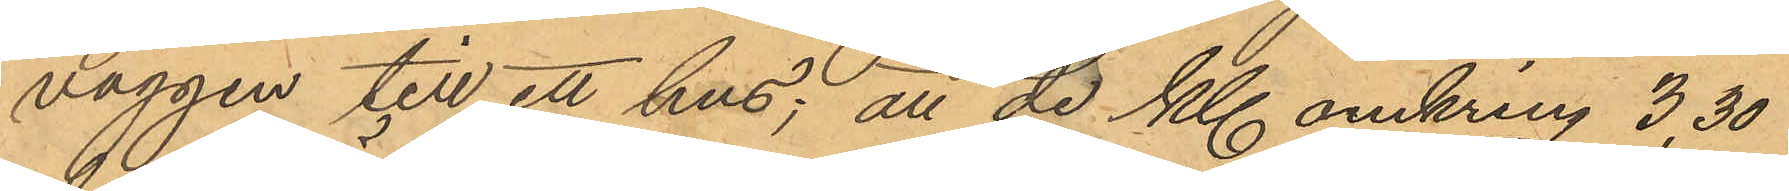väggen till ett hus; att de Kl. omkring 3,30
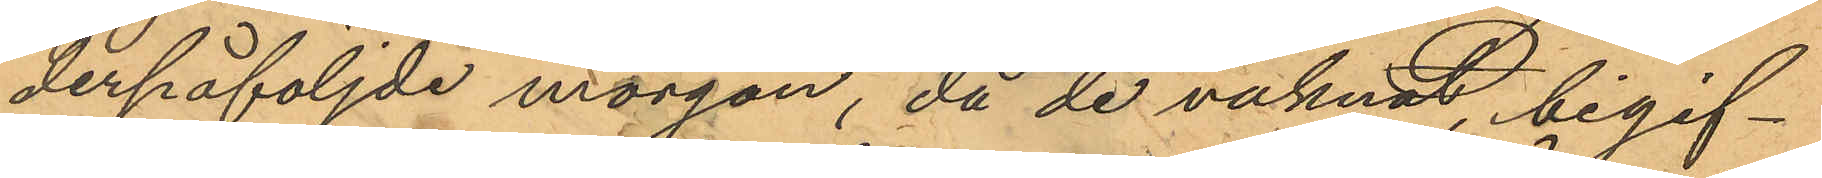derpåföljde morgon, då de vaknat, begif¬
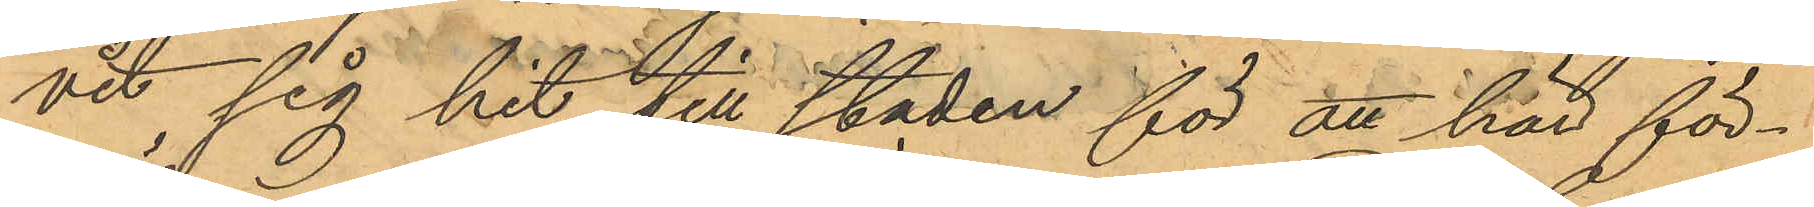vit sig hit till staden för att här för¬
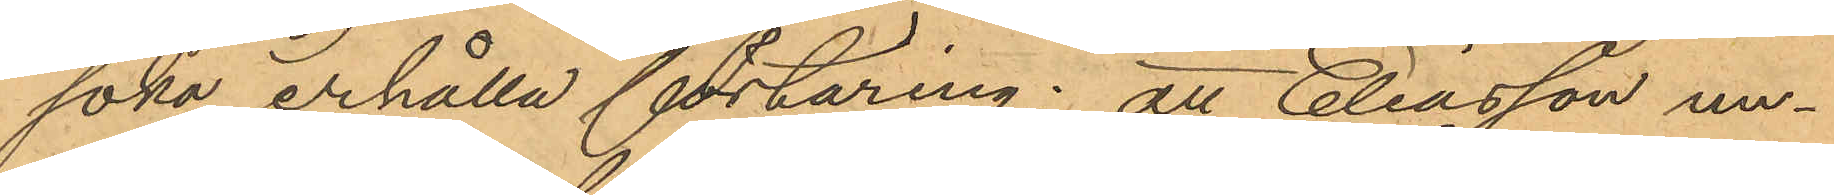söka erhålla förtäring; att Eliasson un¬
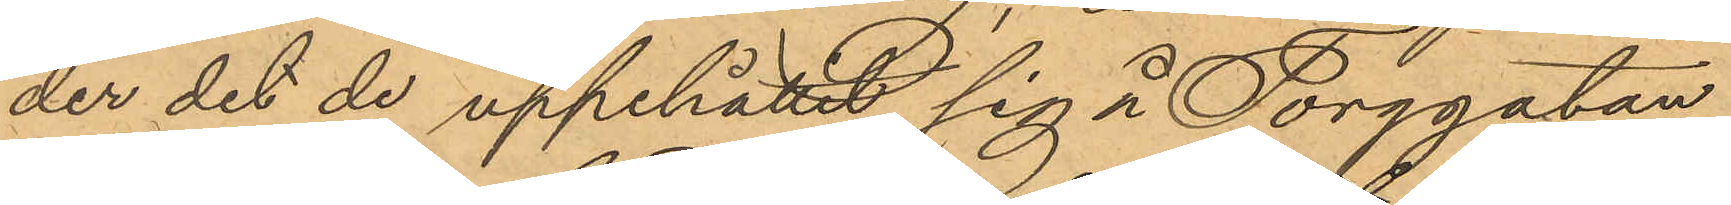der det de uppehållit sig i Torggatan
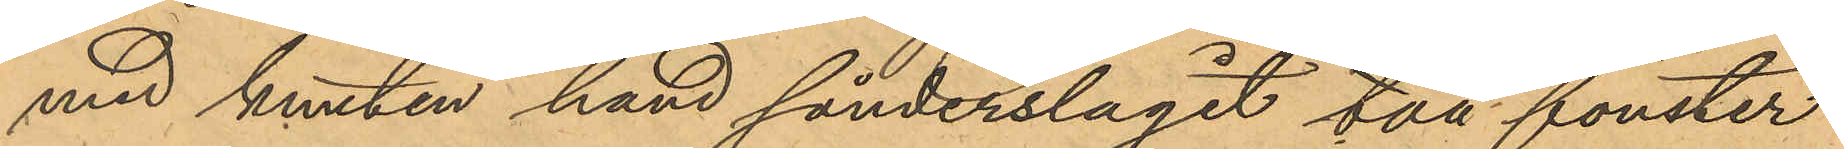med knuten hand sönderslagit två fönster
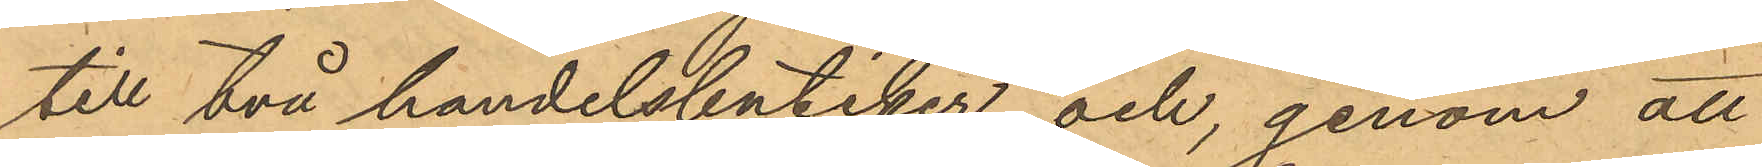till två handelsbutiker och, genom att
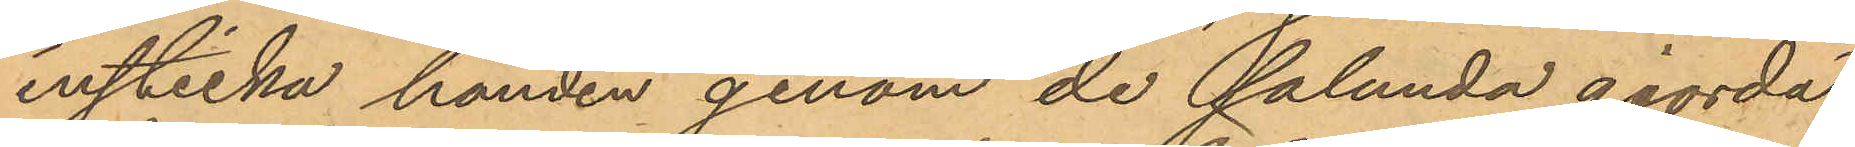insticka handen genom de salunda gjorda
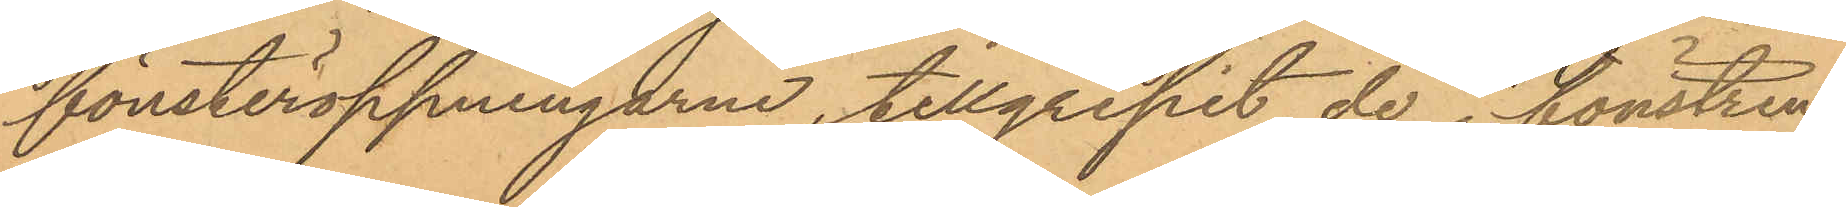fönsteröppningarne, tillgripit de i fönstren
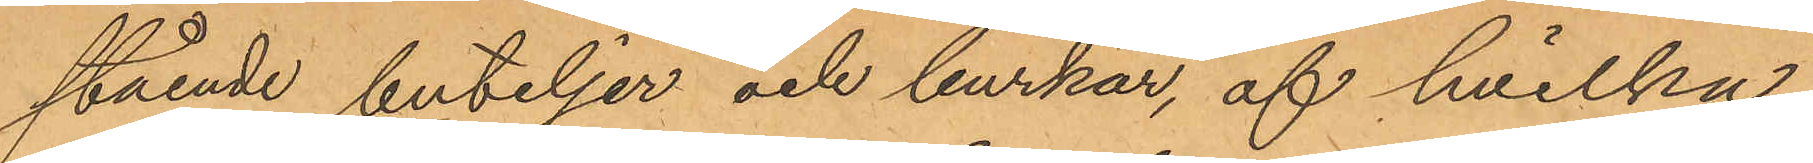stående buteljer och burkar, af hvilka
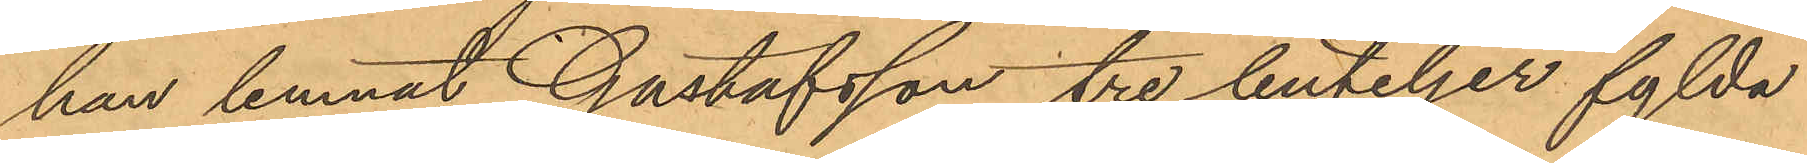han lemnat Gustafsson tre buteljer fylda
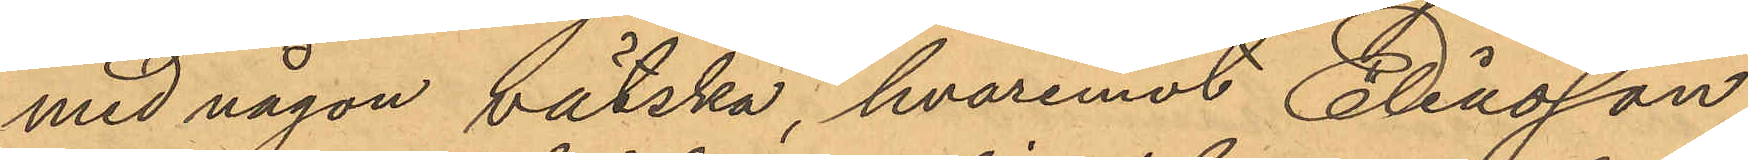med någon vätska, hvaremot Eliasson
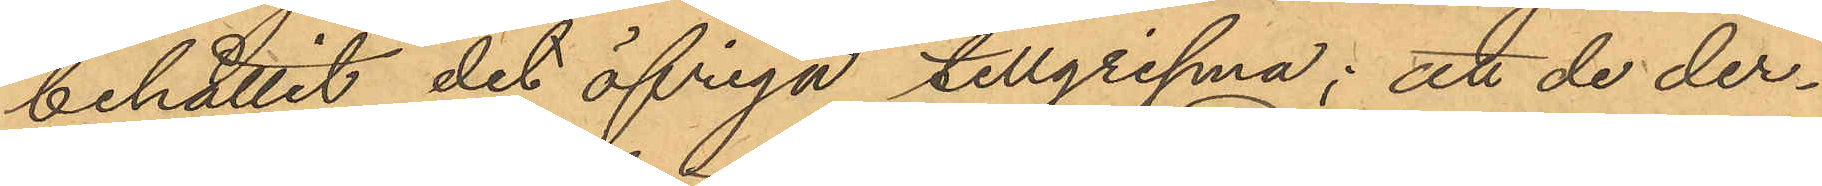behållit det öfriga tillgripna; att de der¬
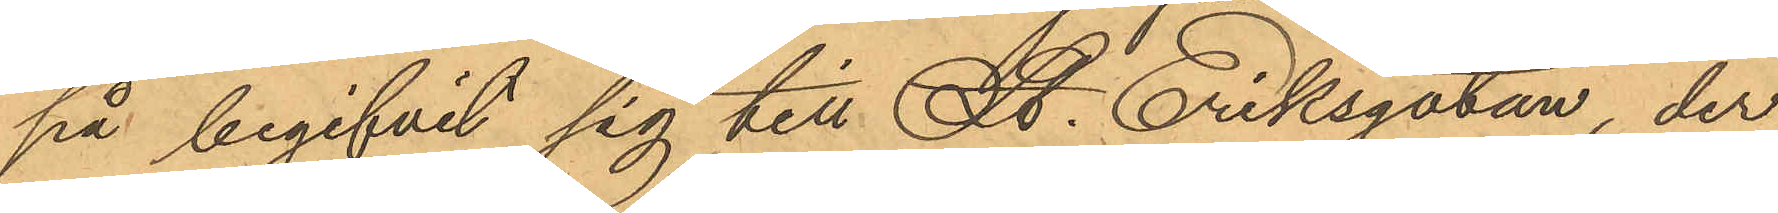på begifvit sig till St. Eriksgatan, der
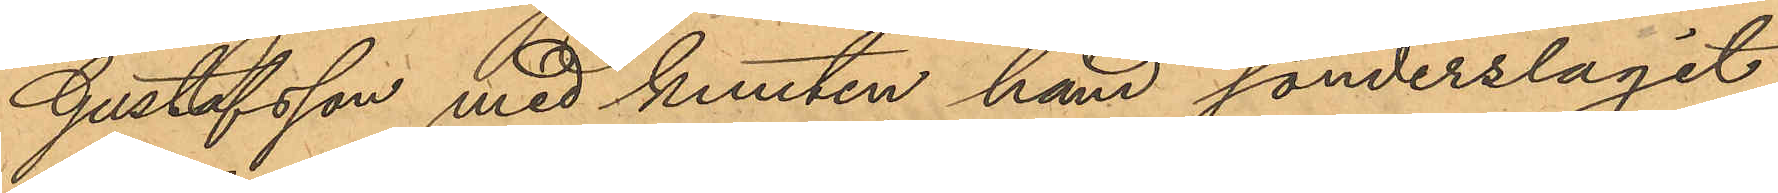Gustafsson med knuten hand sönderslagit
